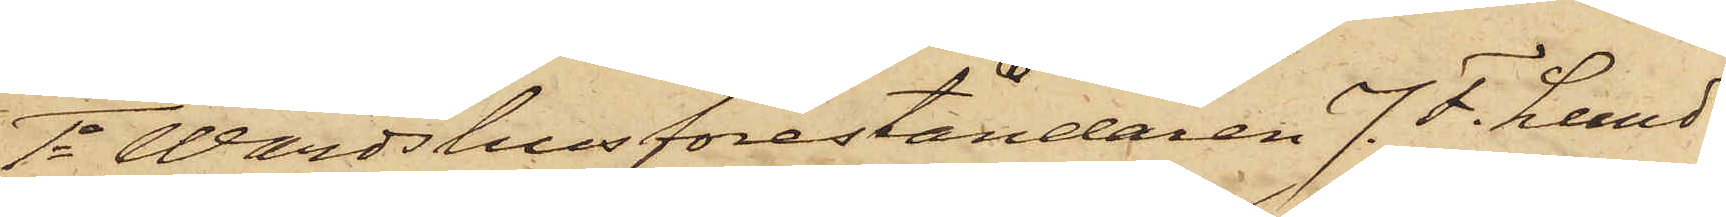1o Wärdshusföreståndaren J. F. Lund¬
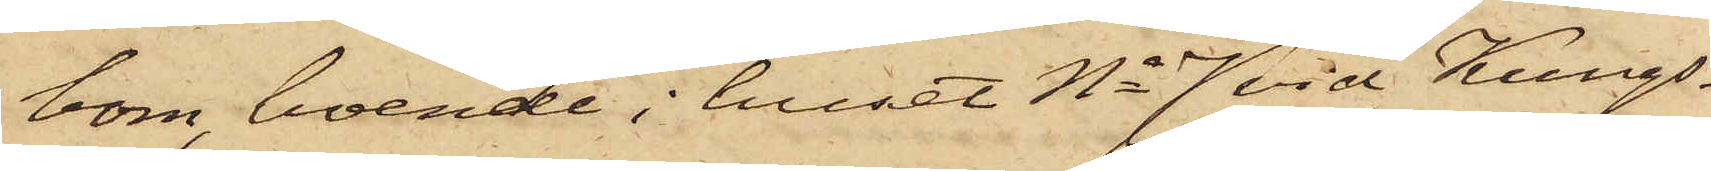bom, boende i huset No 7 vid Kungs¬
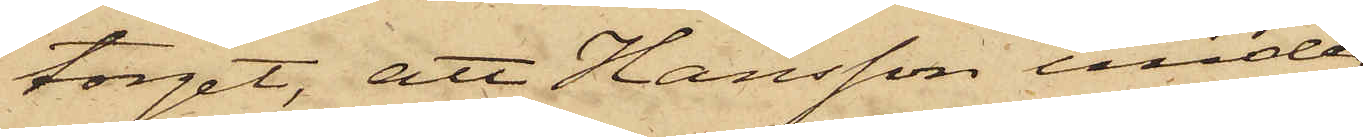torget, att Hansson under
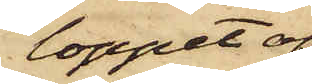loppet af
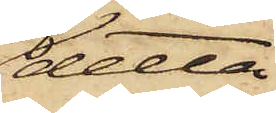detta
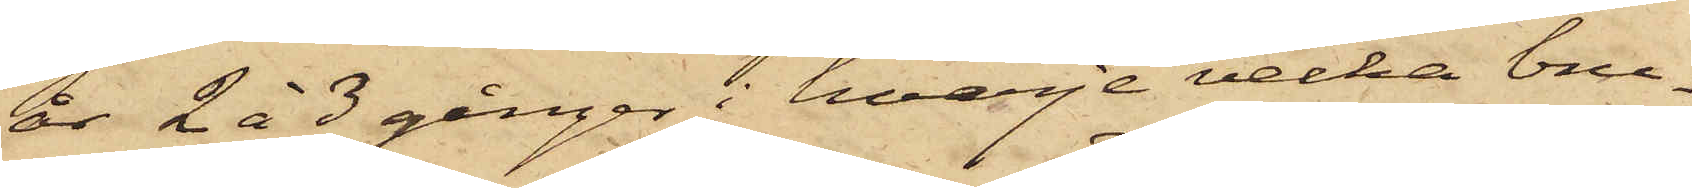år 2 à 3 gånger i hvarje vecka bru¬
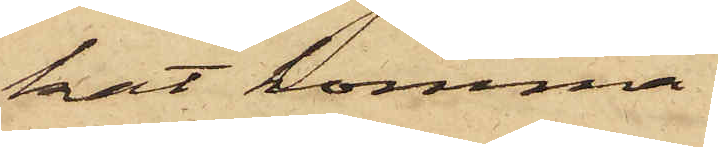kat komma
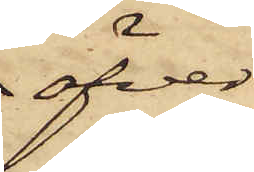öfver
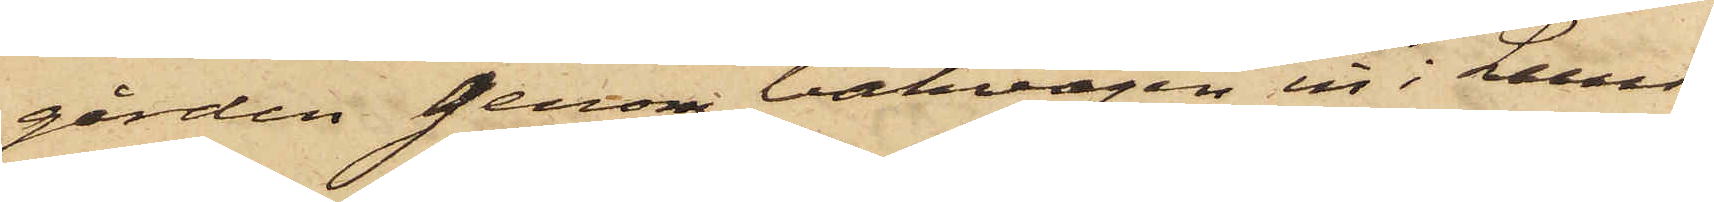gården genom bakvägen in i Lund¬
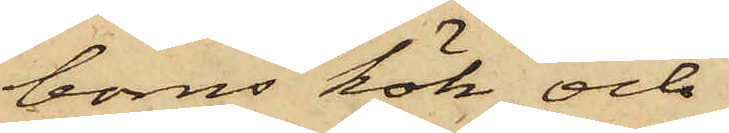boms kök och
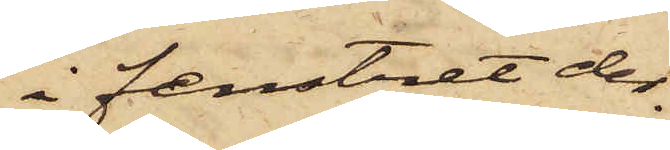i fenstret der¬
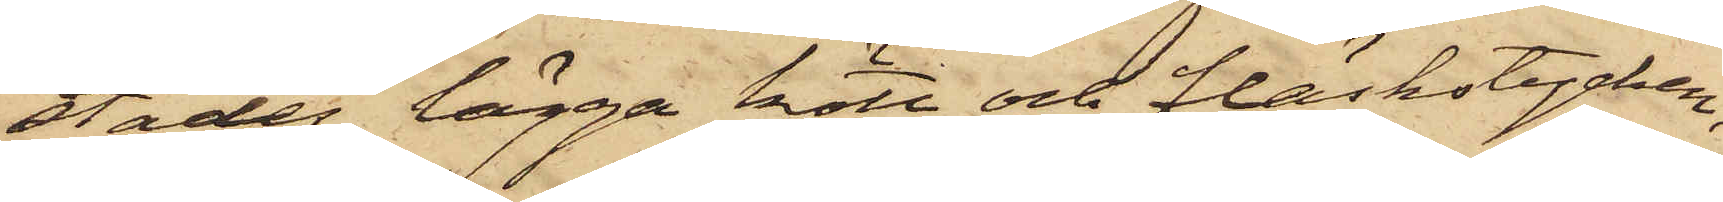städes lägga kött och fläskstycken,
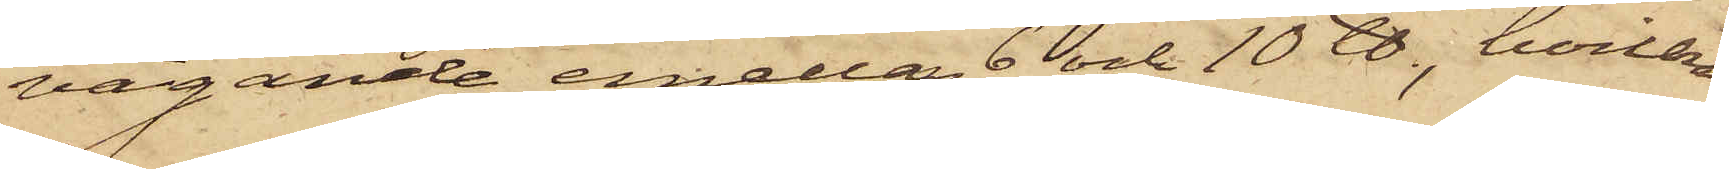vägande emellan 6 och 10 ℔, hvilka
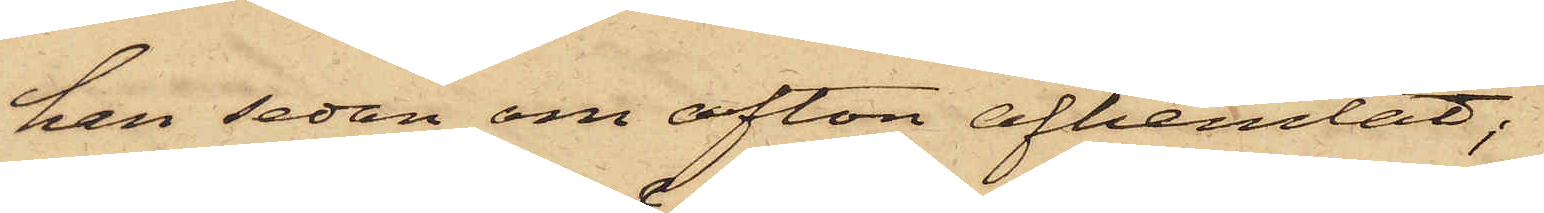han sedan om afton afhemtat;
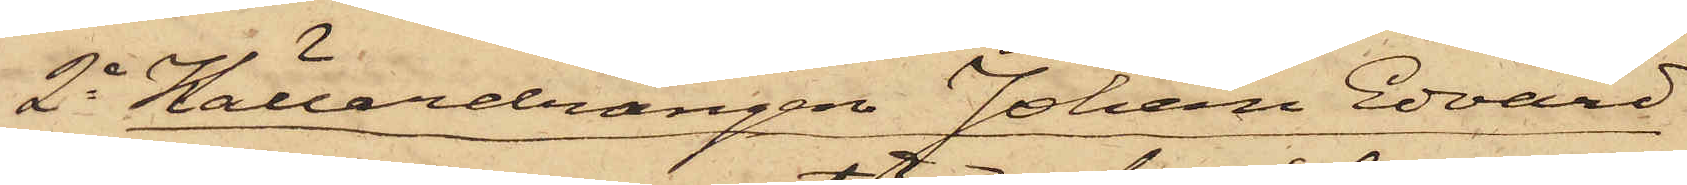2o Källardrängen Johan Edvard
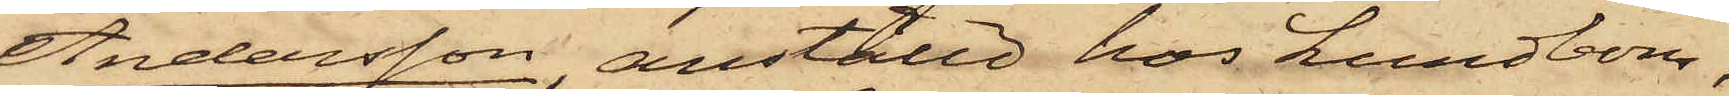Andersson, anställd hos Lundbom,
